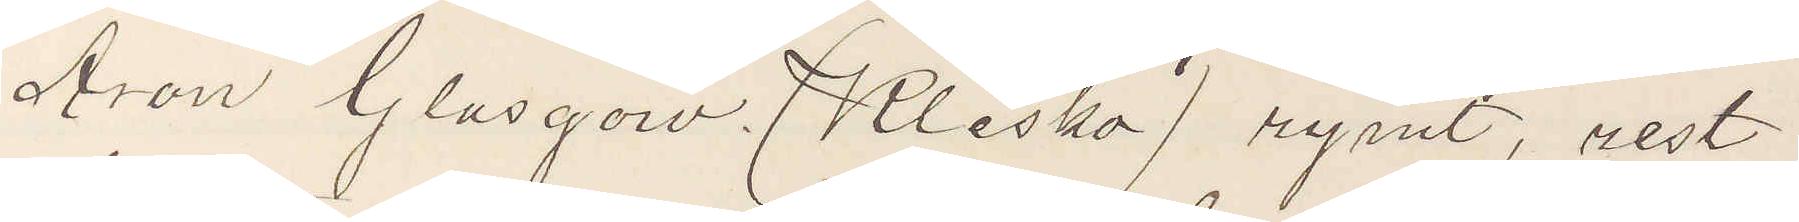Aron Glasgow (Klesko) rymt, rest
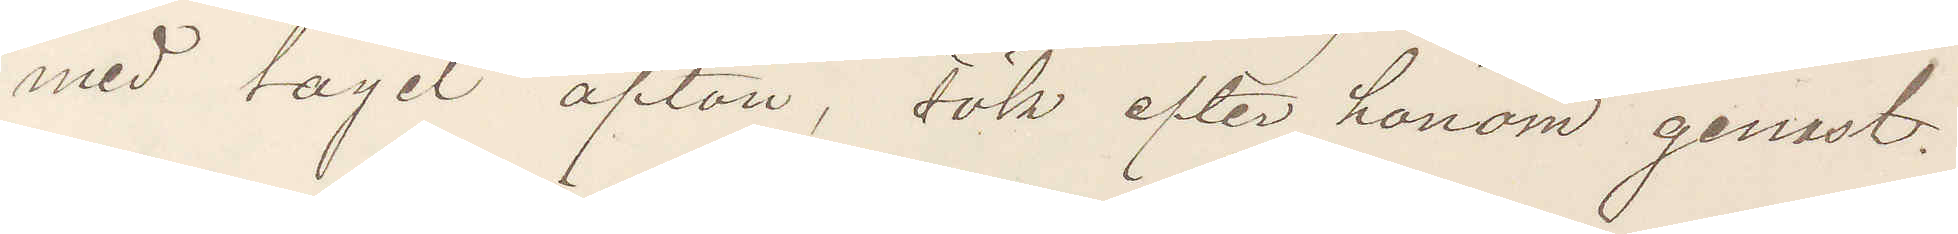med taget afton, sök efter honom genast.
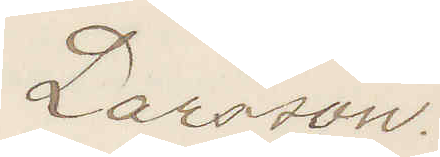Larsson.
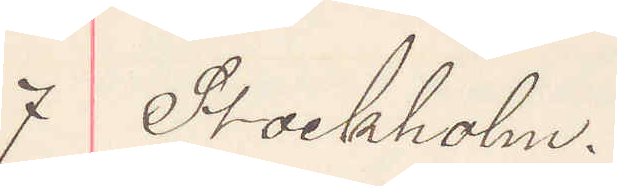7 Stockholm.
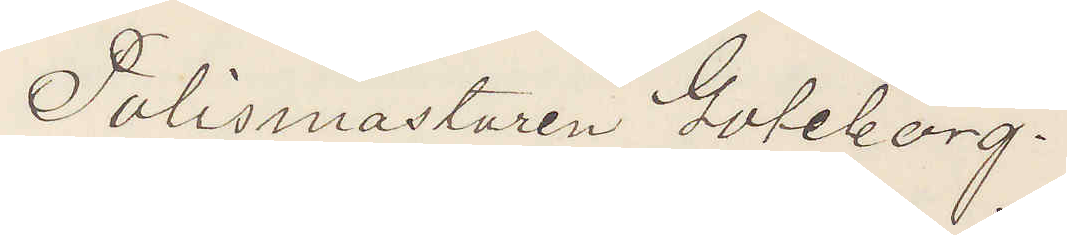Polismästaren Göteborg.
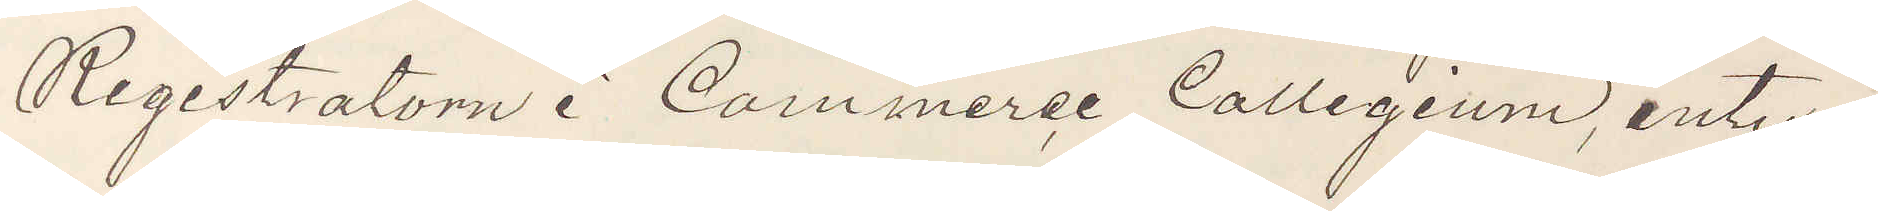Registratorn i Commerce Collegium, inty¬
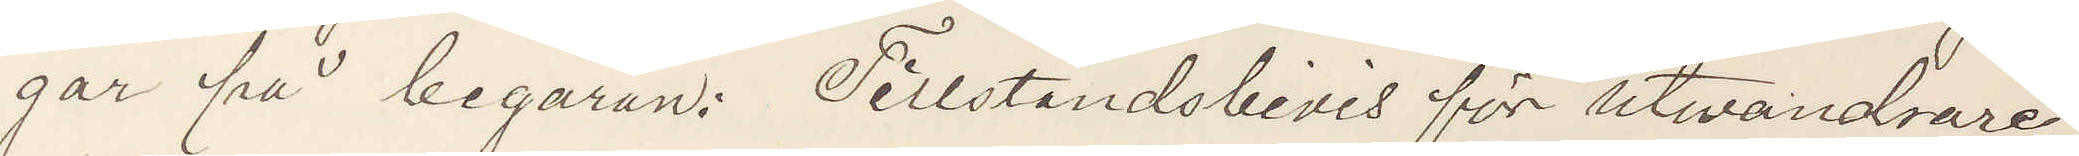gar på begäran: Tillståndsbevis för utvandrare¬
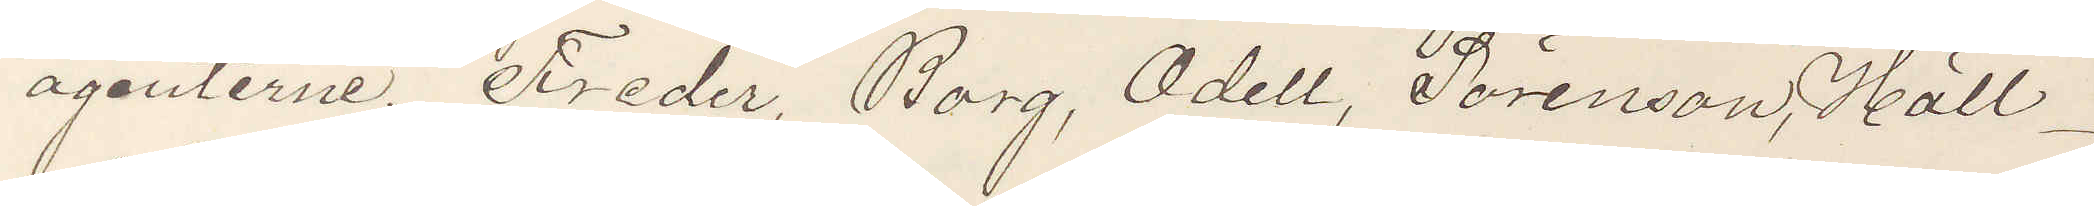agenterne. Freder, Borg, Odell, Sörenson, Häll¬
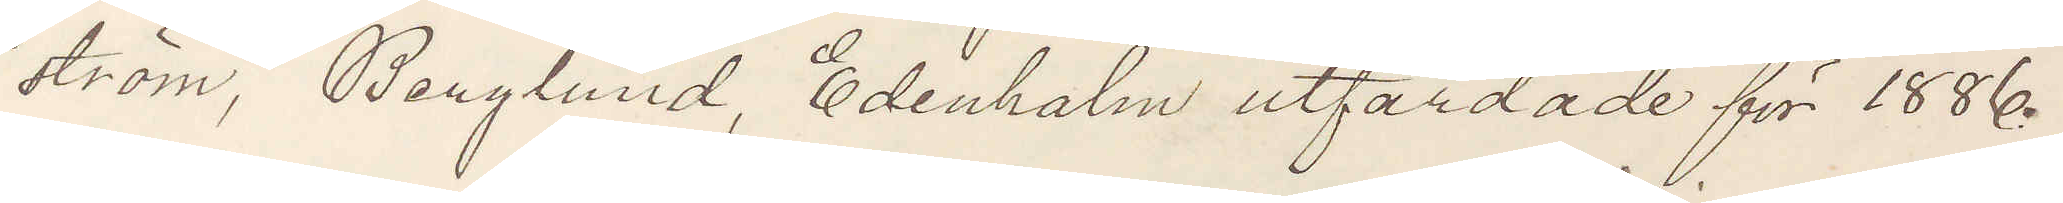ström, Berglund, Edenholm utfärdade för 1886.
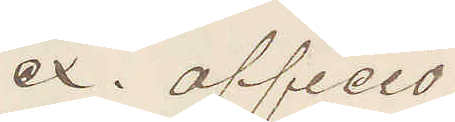ex. officio.
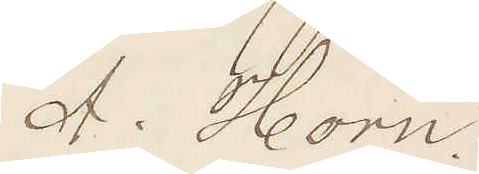A. Horn.
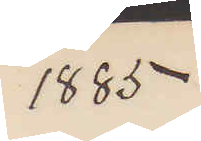1885
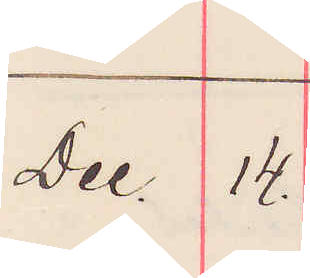Dec. 14.
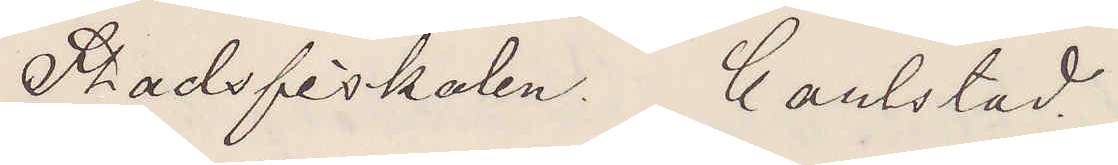Stadsfiskalen. Carlstad.
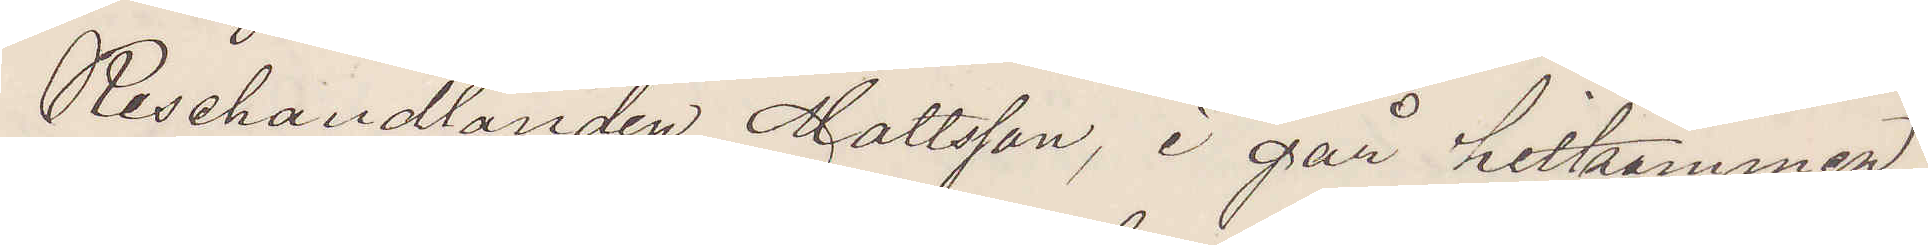Resehandlanden Mattsson, i går hitkommen
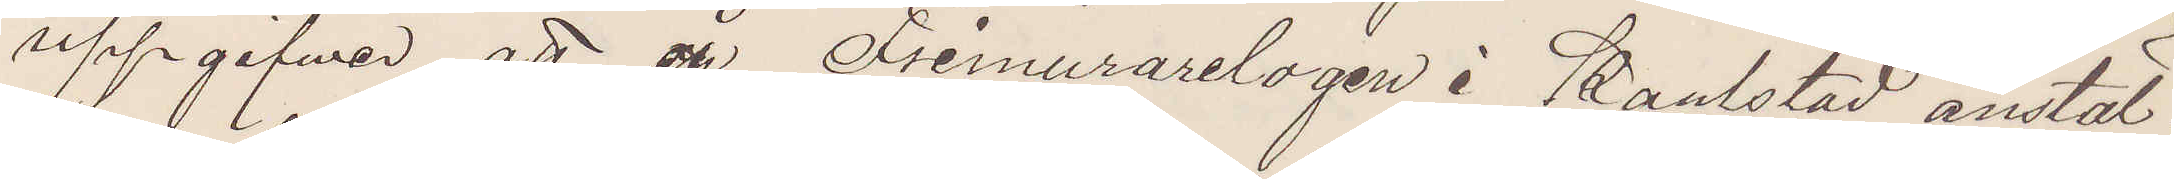uppgifver att en å Frimurarelogen i Karlstad anstäl¬
